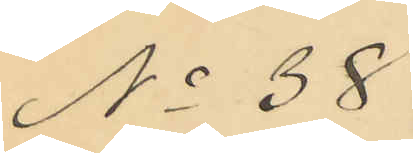No 38
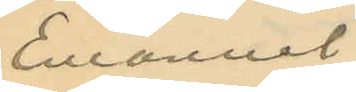Emanuel
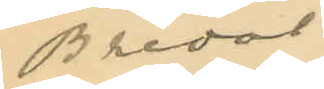Bredal
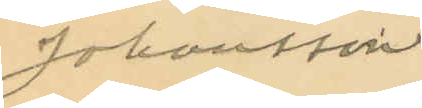Johansson
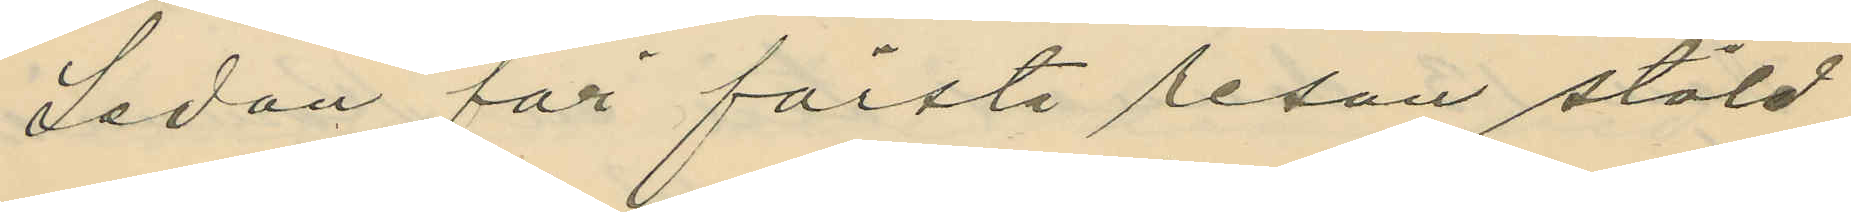Sedan för första resan stöld
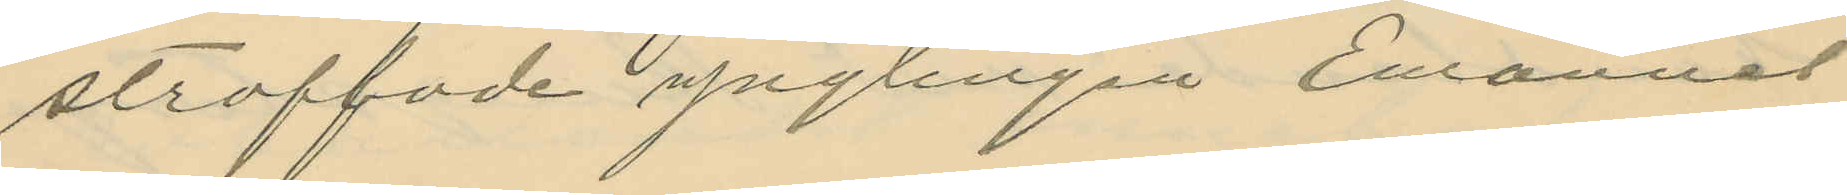straffade ynglingen Emanuel
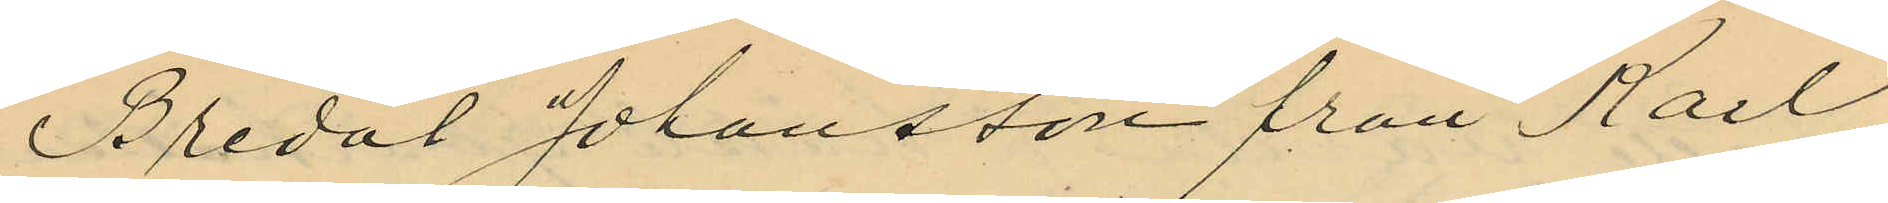Bredal Johansson från Karl
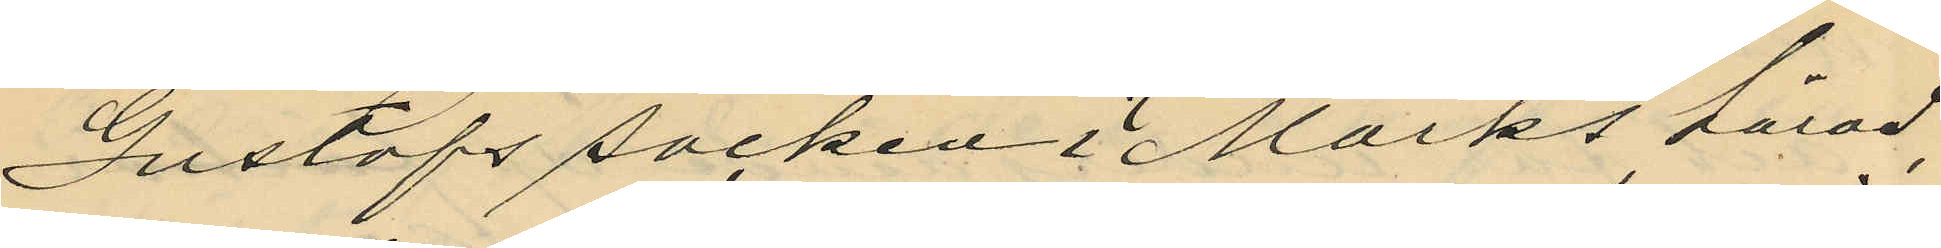Gustafs socken i Marks härad,
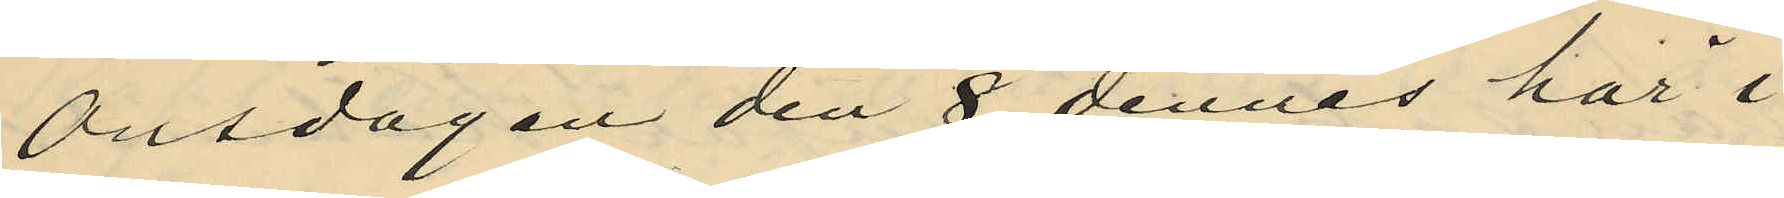Onsdagen den 8 dennes här i
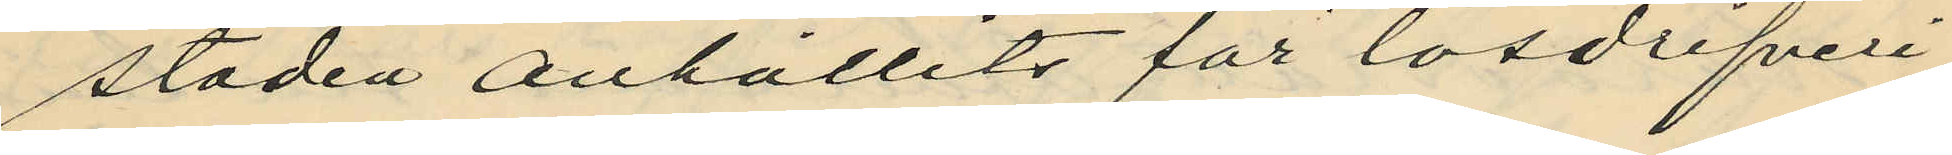staden anhållits för lösdrifveri,
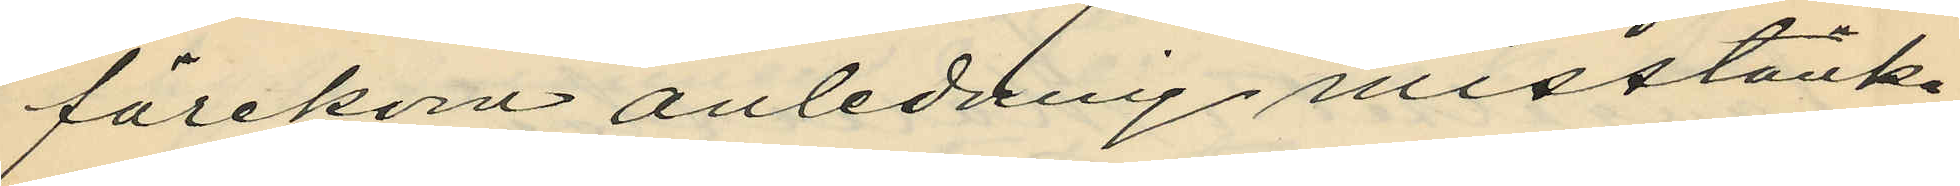förekom anledning misstänka
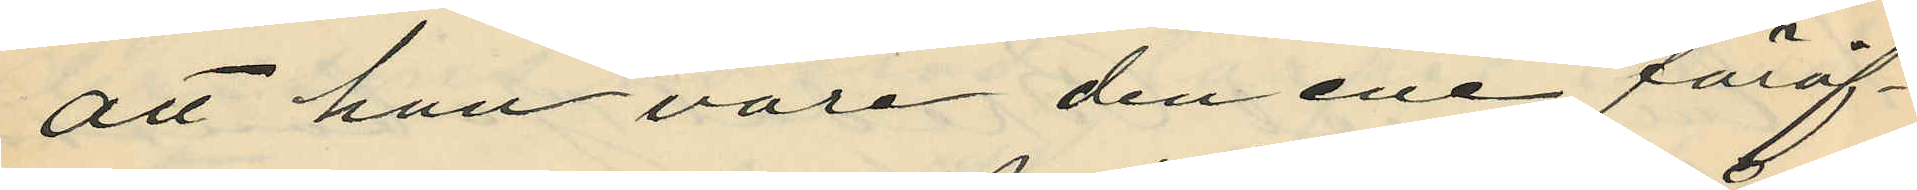att han vore den ene föröf¬
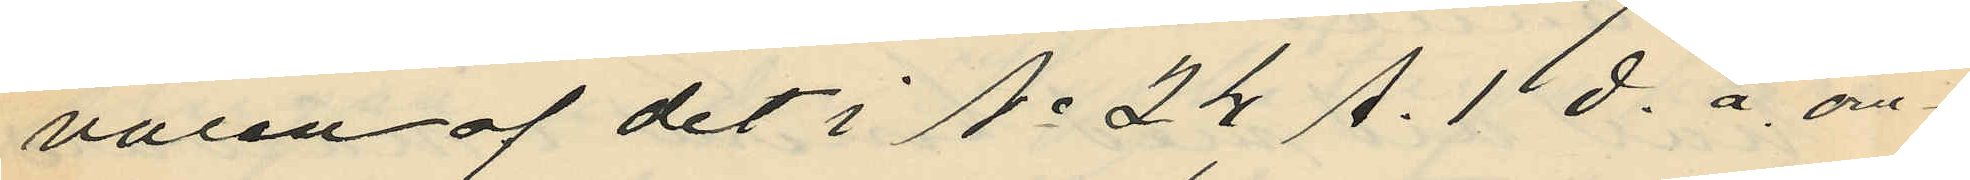varen af det i No 24 A. 1 d. å om¬
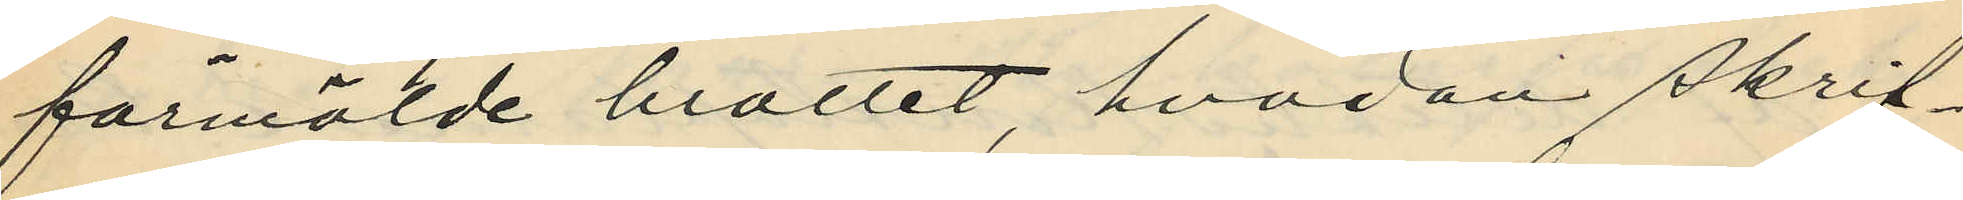förmälde brottet, hvadan skrif¬
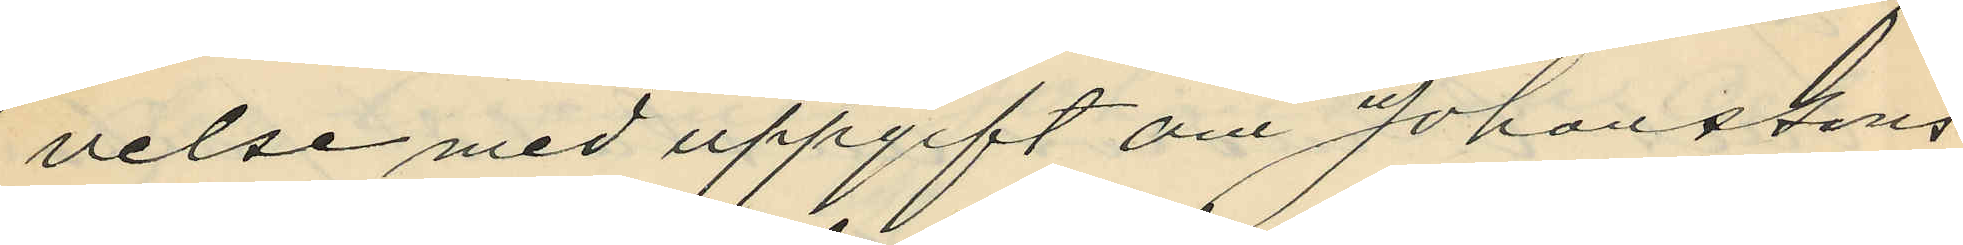velse med uppgift om Johanssons
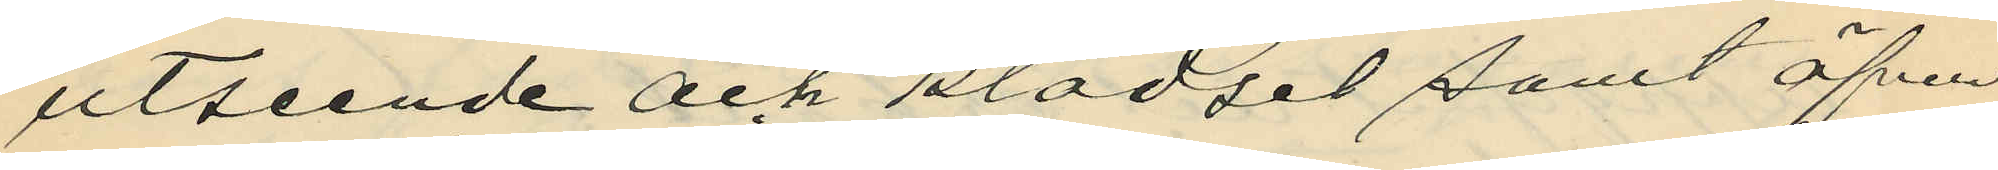utseende och klädsel samt äfven
